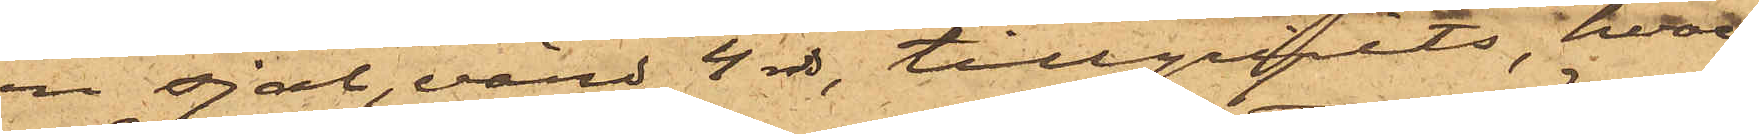en sjal, värd 4 rdr, tillgripits, hvar¬
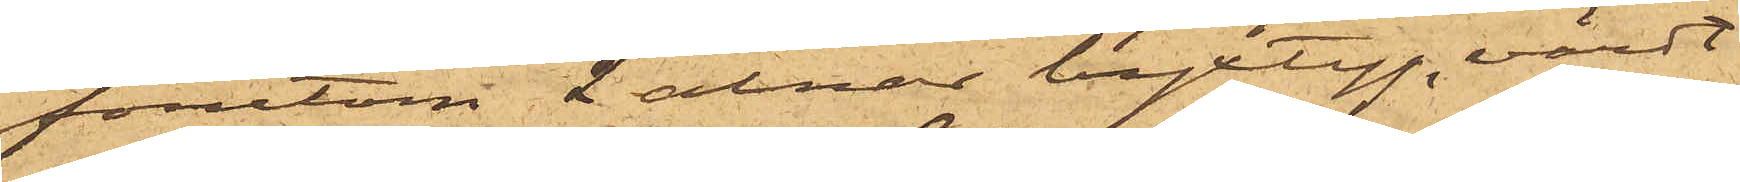förutom 2 alnar byxtyg, värdt
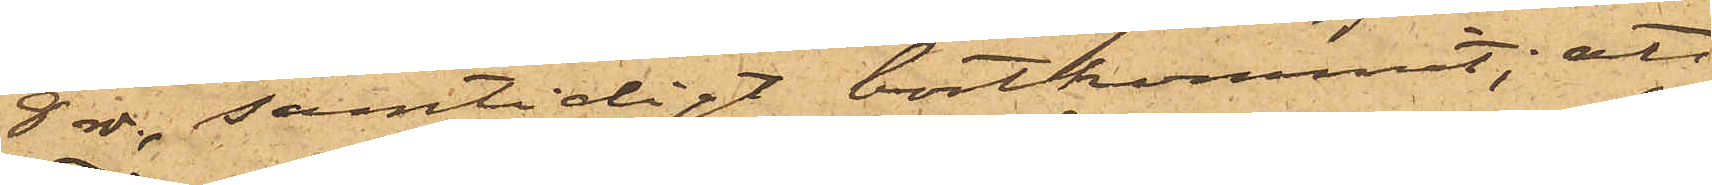8 rdr, samtidigt bortkommit; att
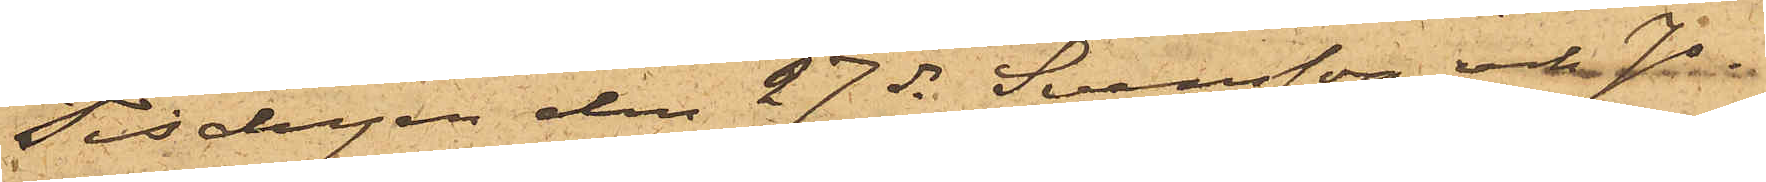Tisdagen den 27 ds Svensson och Jo¬
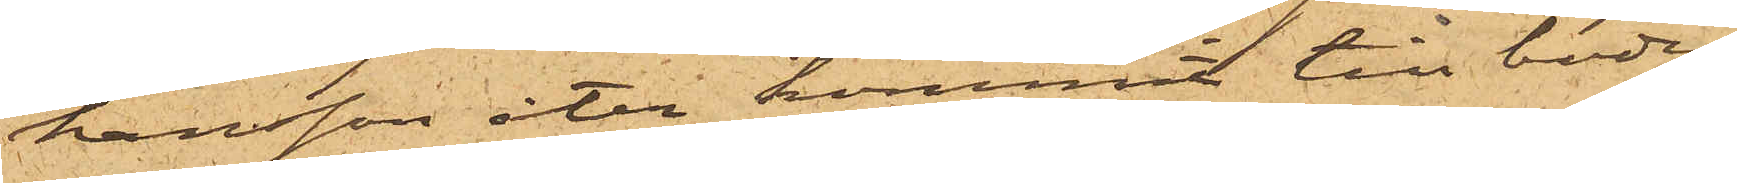hansson åter kommit till boden
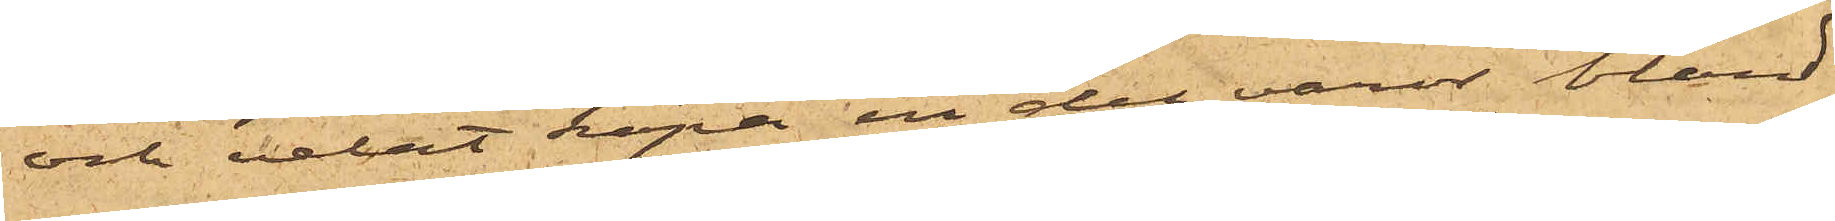och velat köpa en del varor bland
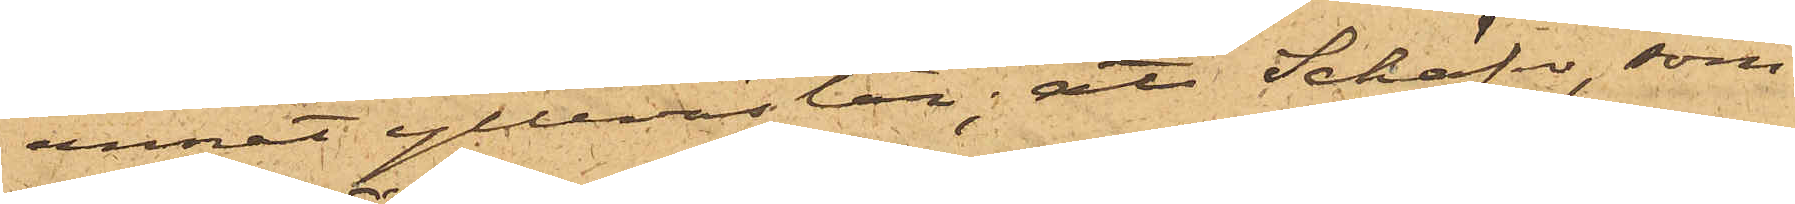annat yllevästar; att Schäfer, som
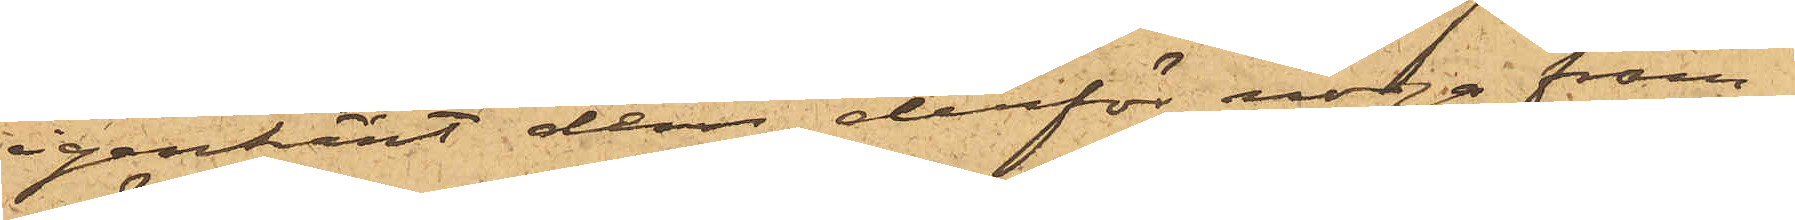igenkänt dem, derför noga fram¬
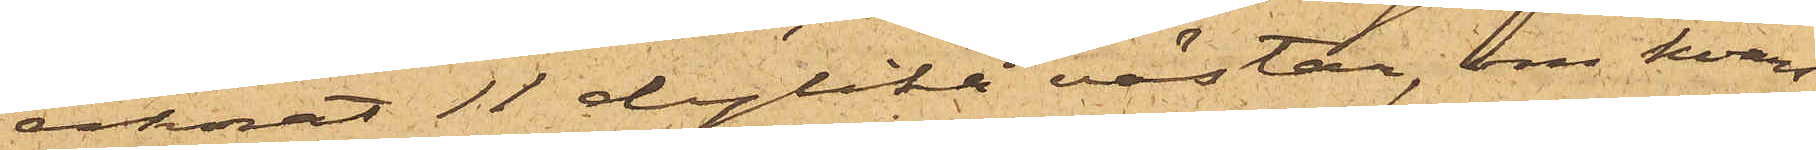räknat 11 dylika västar, om hvars
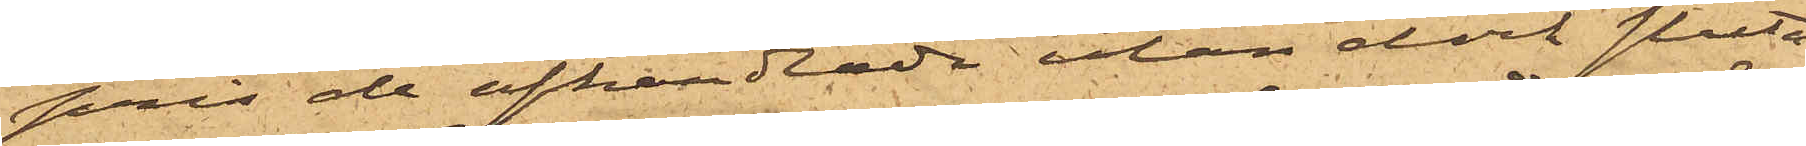pris de afhandlade utan dock sluta
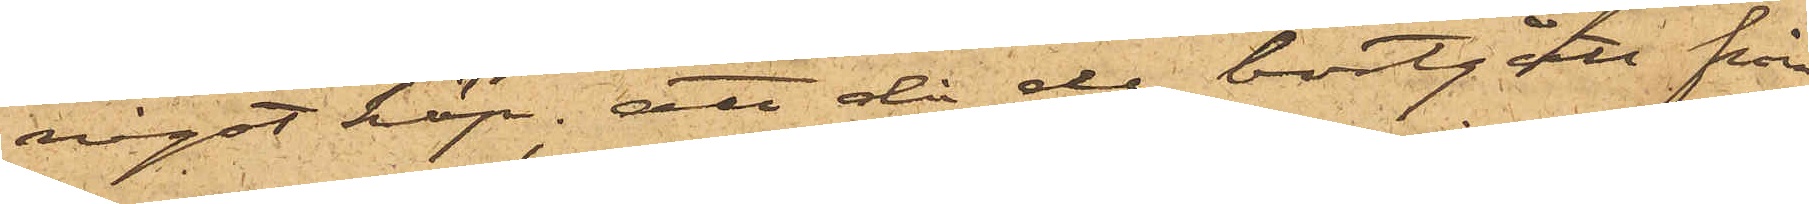något köp; att då de bortgått från
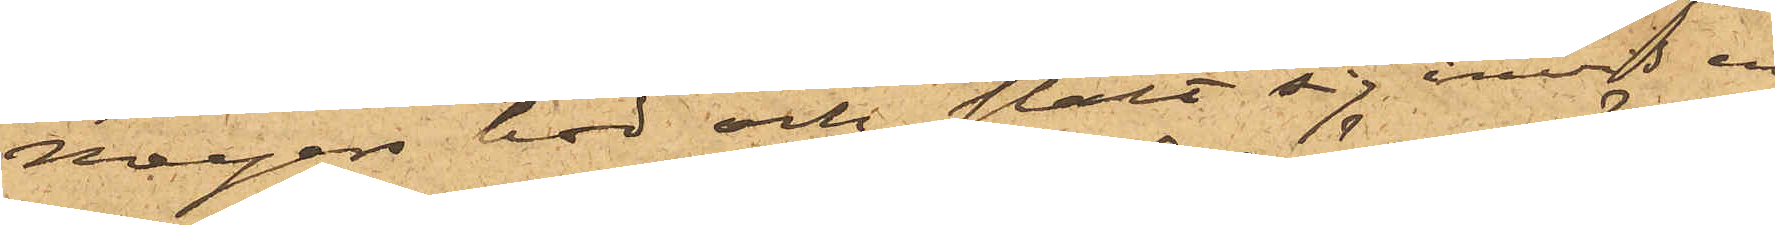Meyers bod och stält sig invid en
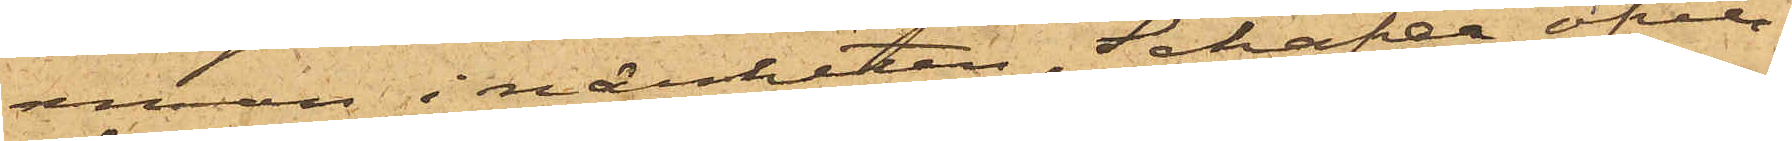annan i närheten, Schäfer öfver¬
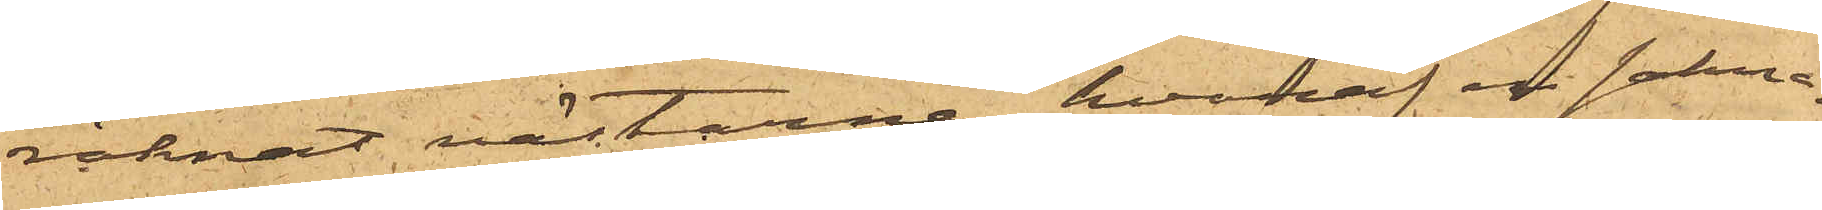räknat västarne, hvaraf en sakna¬
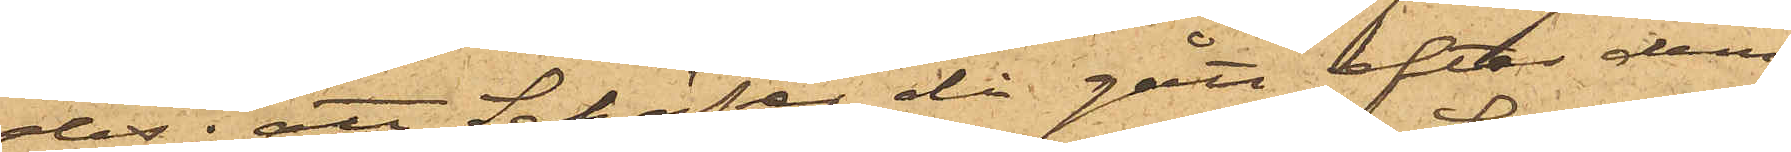des; att Schäfer då gått efter dem,
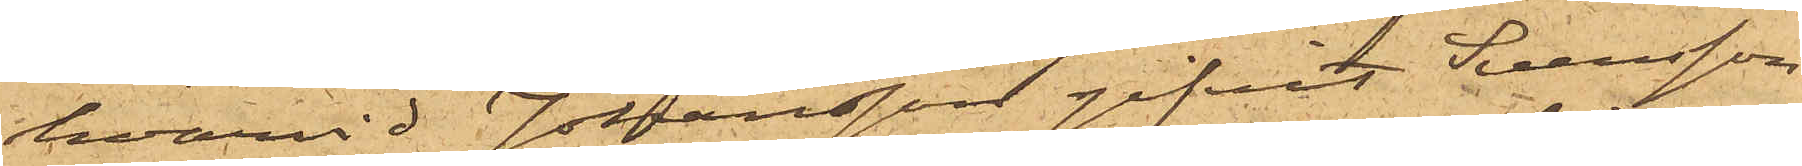hvarvid Johansson gifvit Svensson
